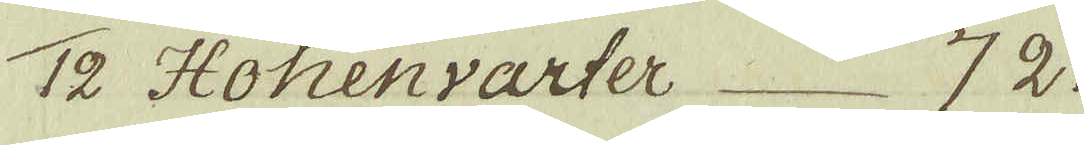12 Hohenvarter 72.
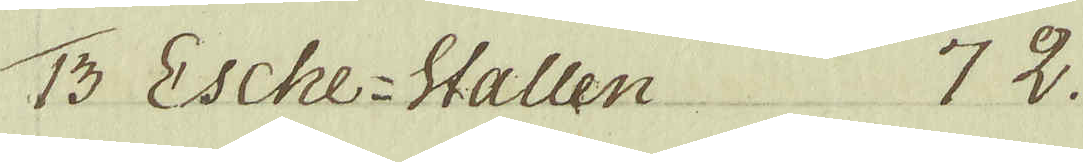13 Esche-Wallen 72.
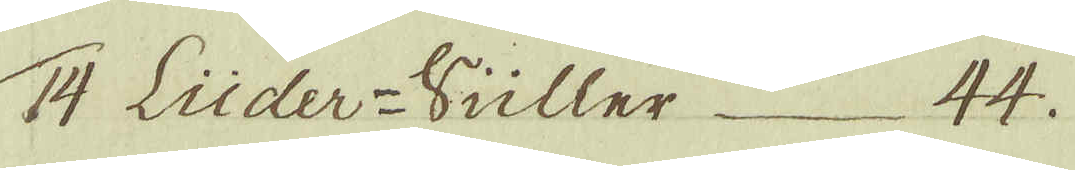14 Lüder-Vüller 44.
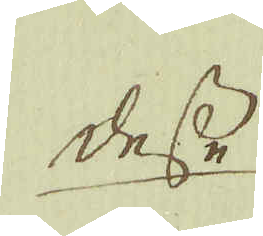desse
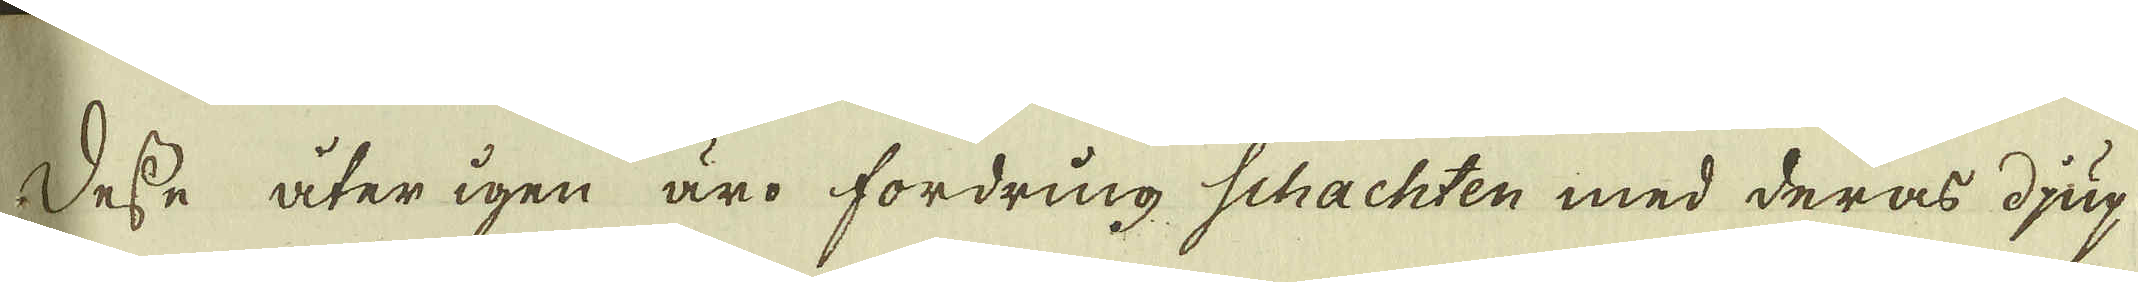desse åter igen äro fordring Schachten med deras djup
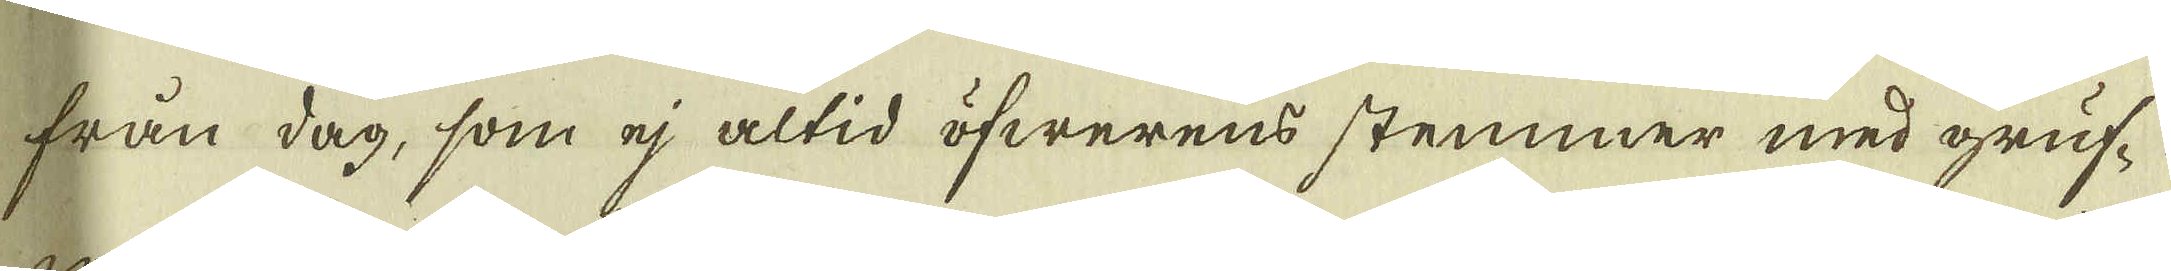från dag, som ej altid öfwerens stemmer med gruf-
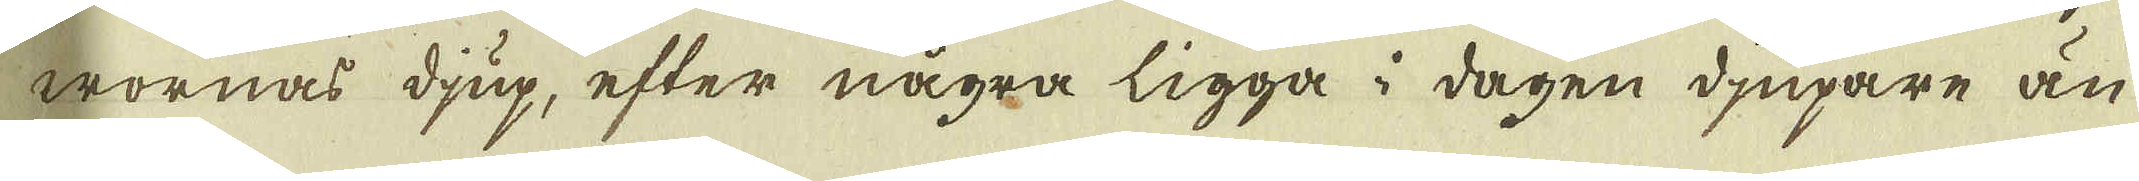wornas djup, efter några ligga i dagen diupare än
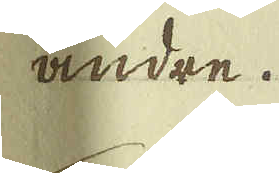andre.
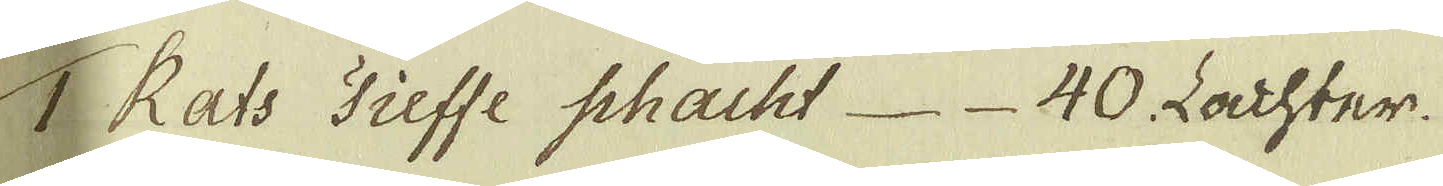1 Rats Tiesse Schacht 40. Lachter.
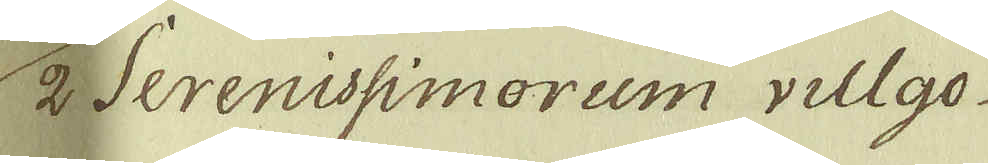2 Serenissimorum villgo
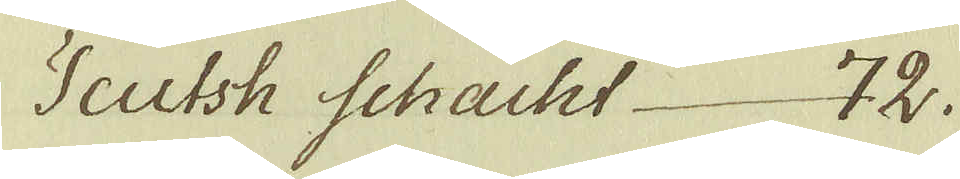Scutsh Schacht 72.
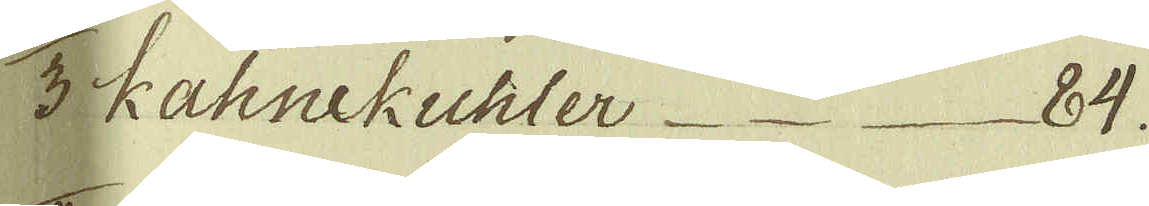3 Kahnekuhler 84.
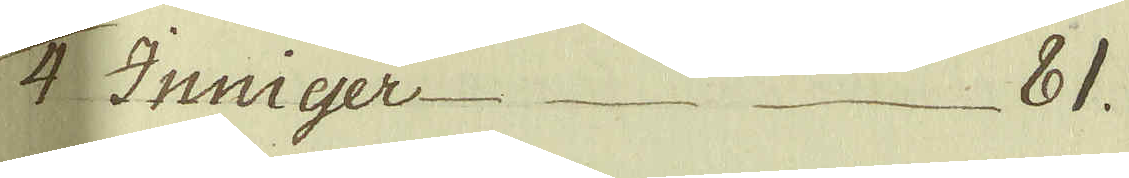4 Inniger 81.
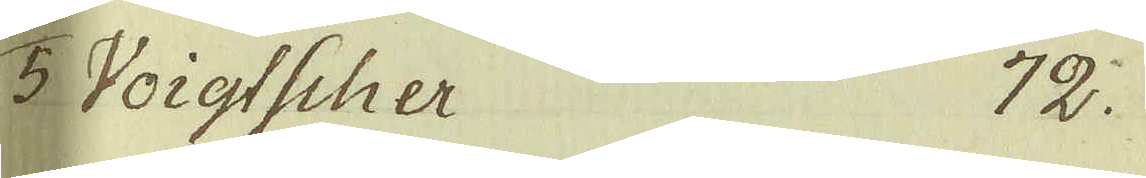5 Voigtscher 72.
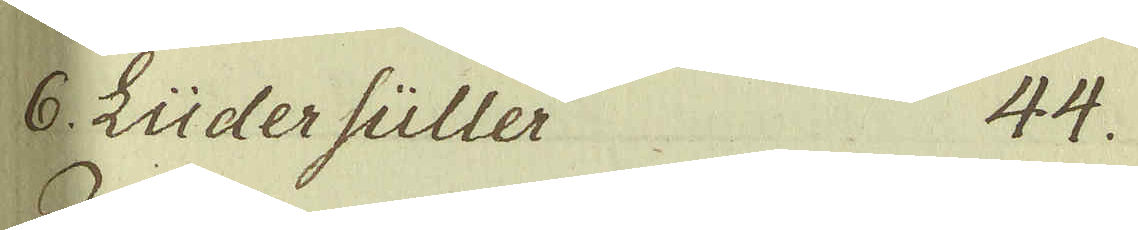6. Lüder füller 44.
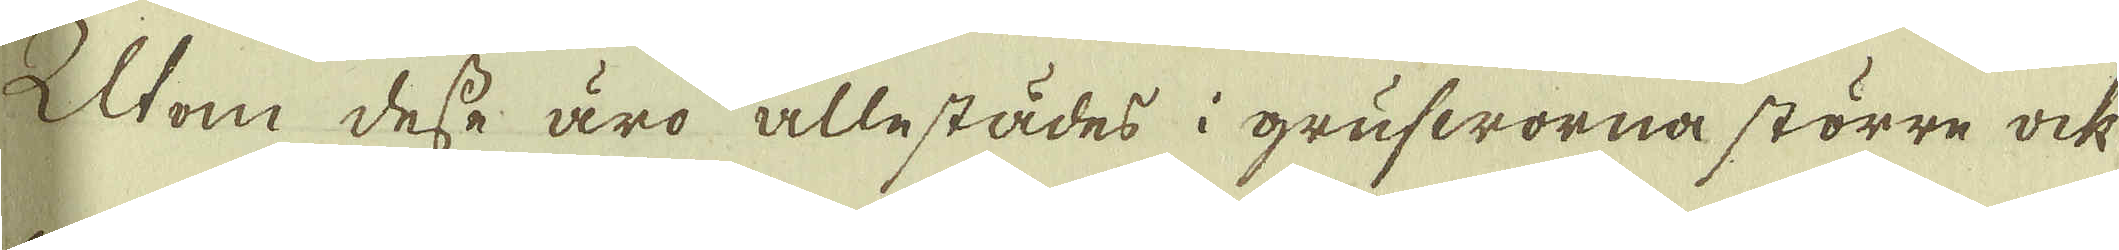Utom dese äro allestädes i grufworna större ock
